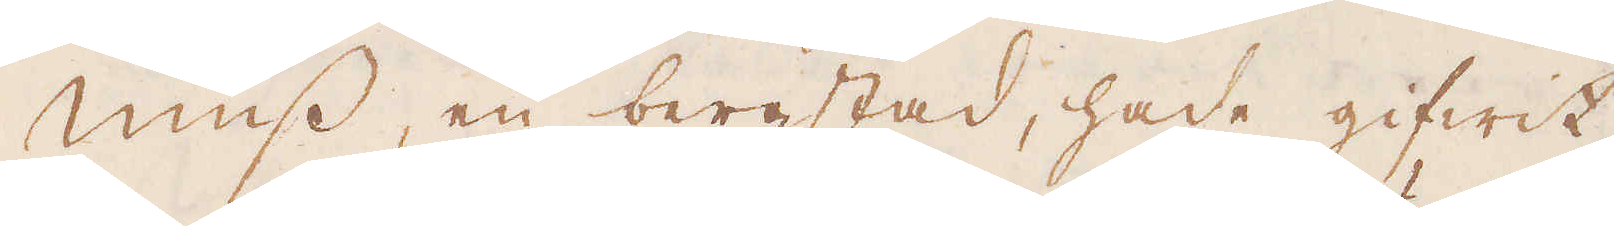Müss, en bergstad, hade gifwit
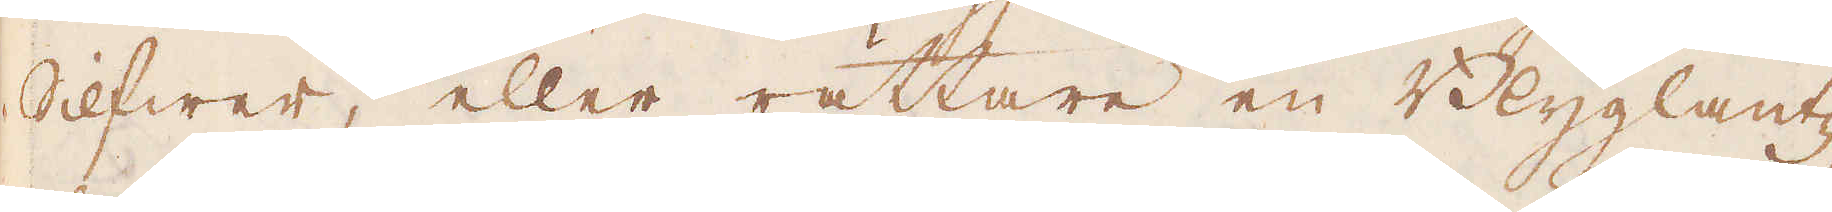Silfwer, eller rättare en Blyglantz,
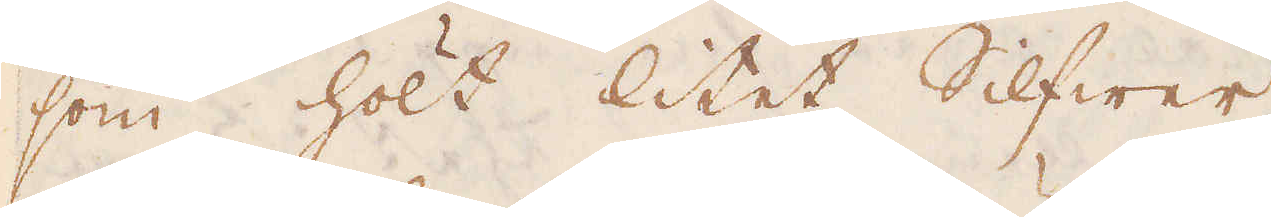som hölt litet Silfwer
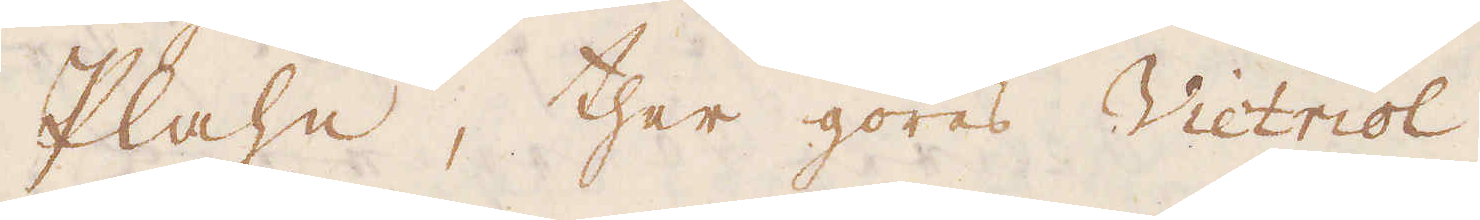Plahn, ther göres Victriol.
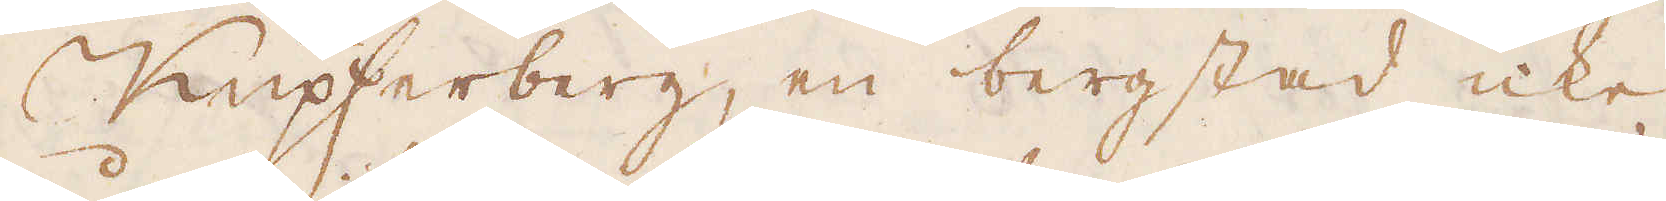Kupferberg, en bergstad icke
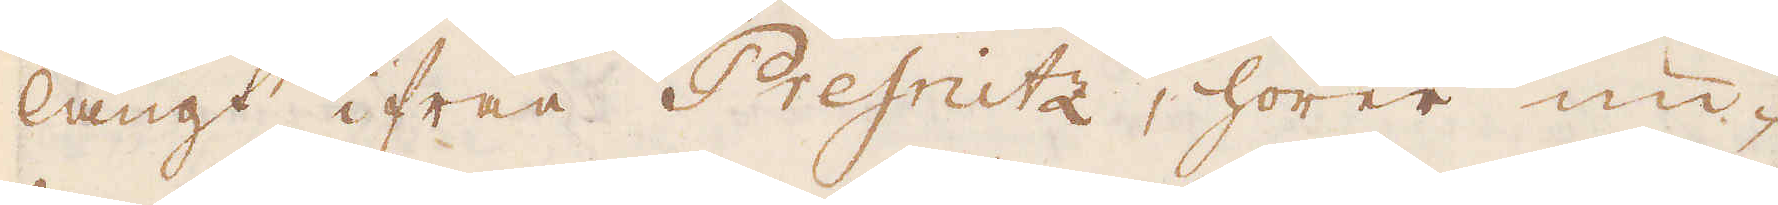långt ifrån Presnitz, hörer un-
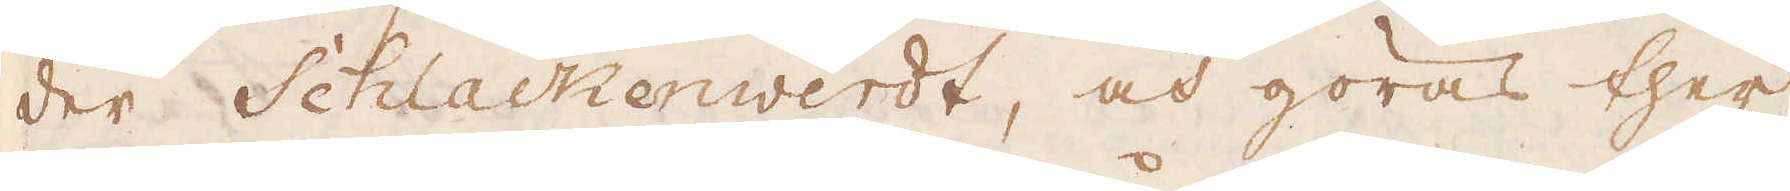der Schlackenwerdt, och göras ther
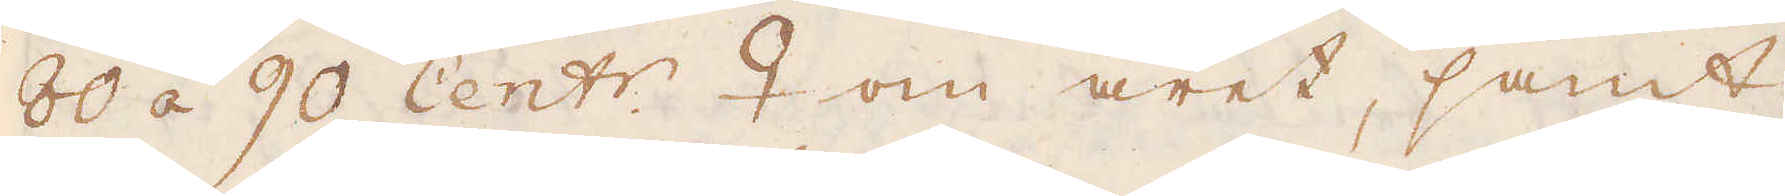80 á 90 Cent:r. ♀ om året, samt
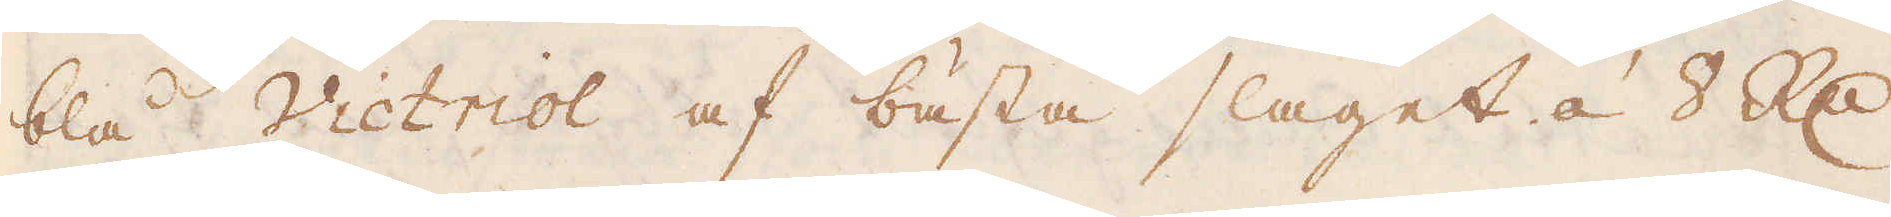blå Victriol af bästa slaget á 8 R:dr
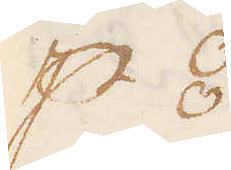p ⦂.
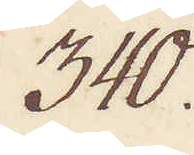340.
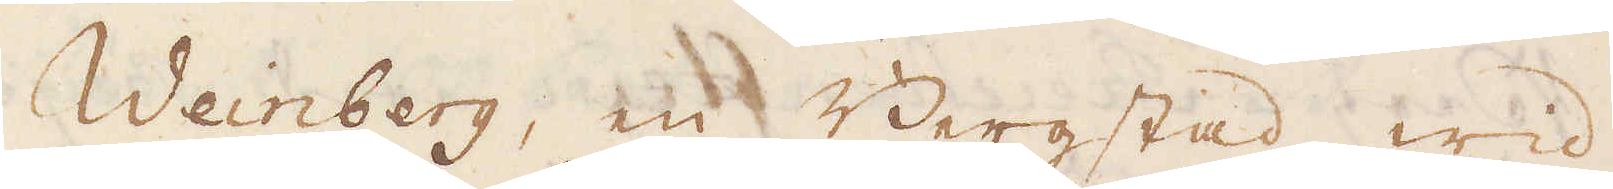Weinberg, en Bergstad wid
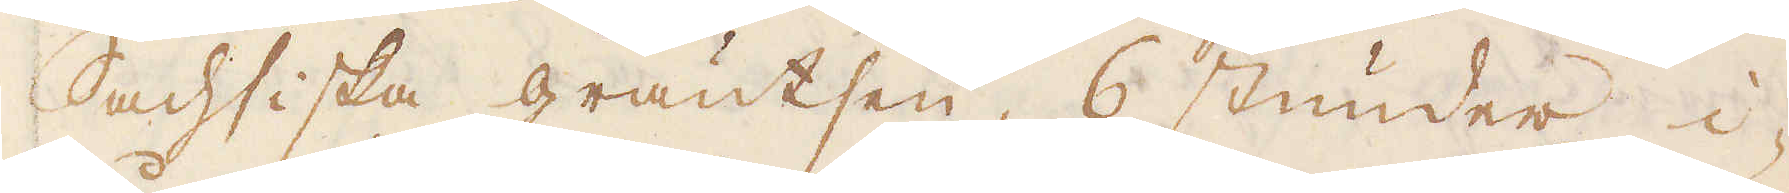Sachsiska gräntsen, 6 stunder i-
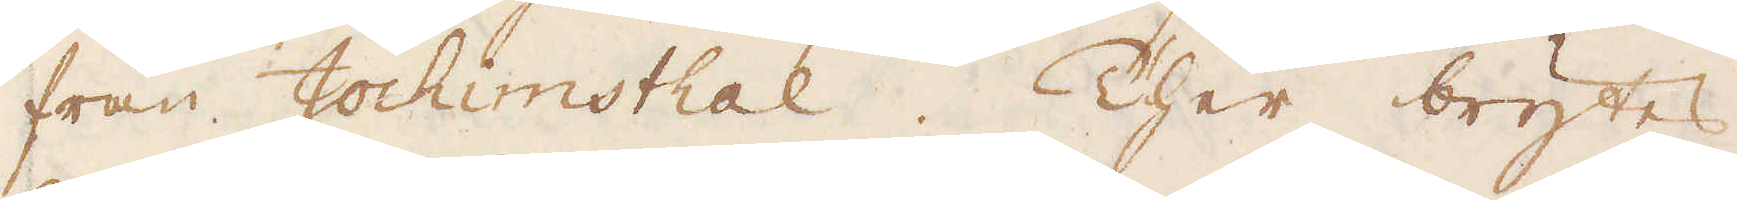från Jochimsthal. Ther brytes
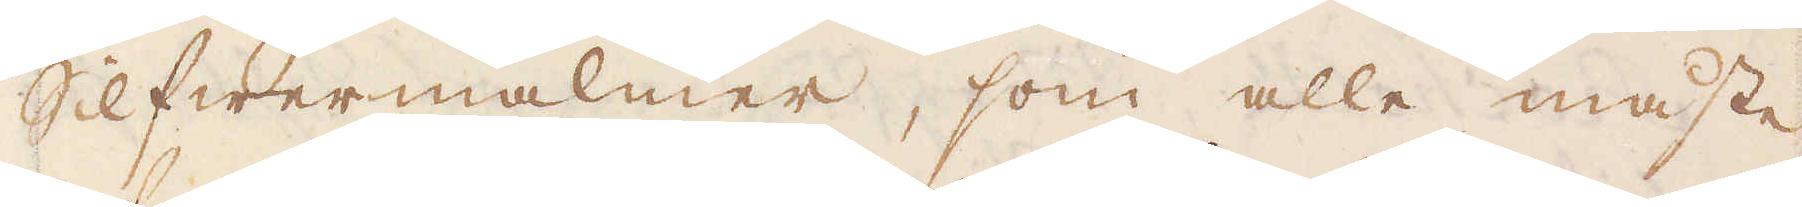Slfwermalmer, som alle måste
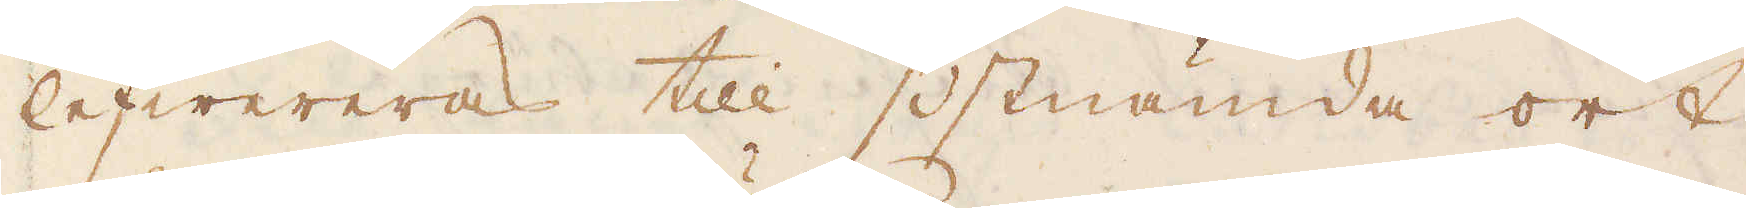lefwereras till sistnämde ort
